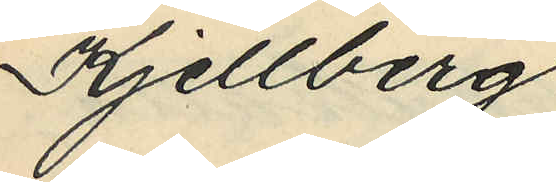Kjellberg
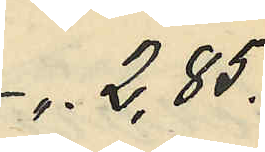". 2,85.
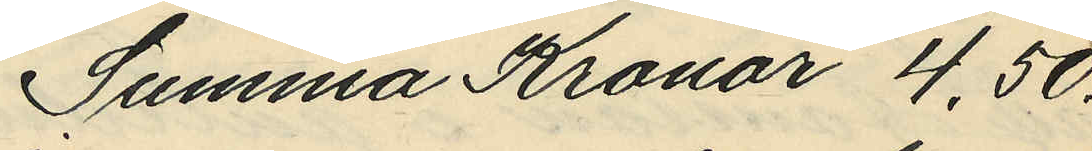Summa Kronor 4,50.
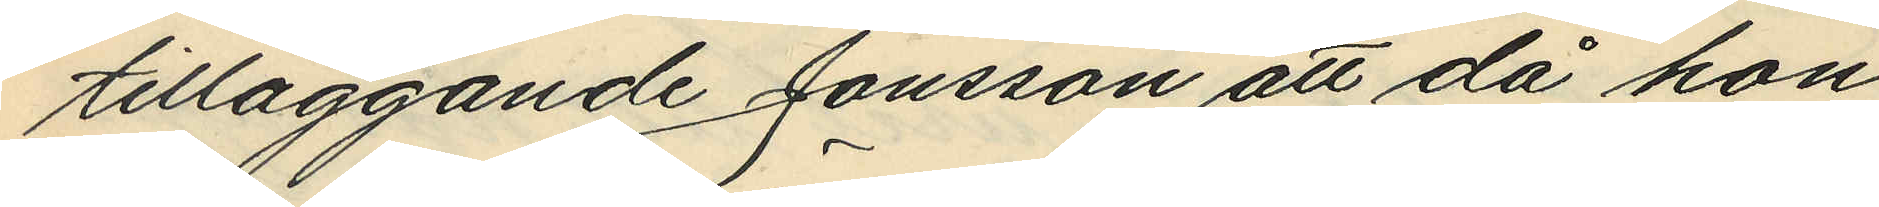tilläggande Jonsson att då hon
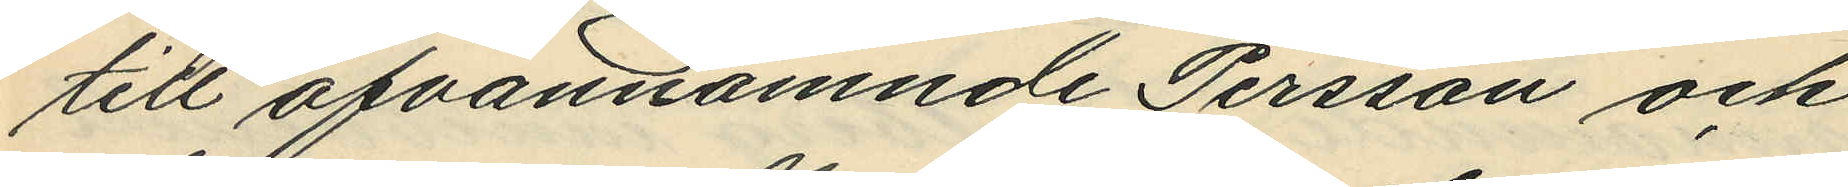till ofvannämnde Persson och
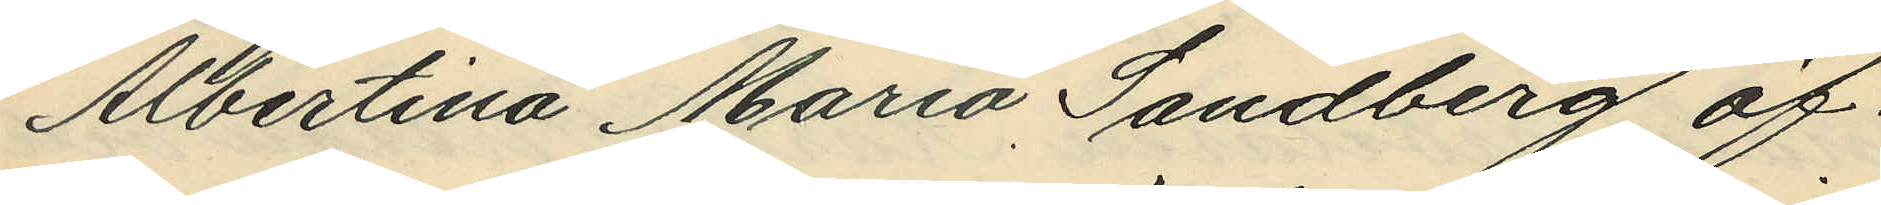Albertina Maria Sandberg öf¬
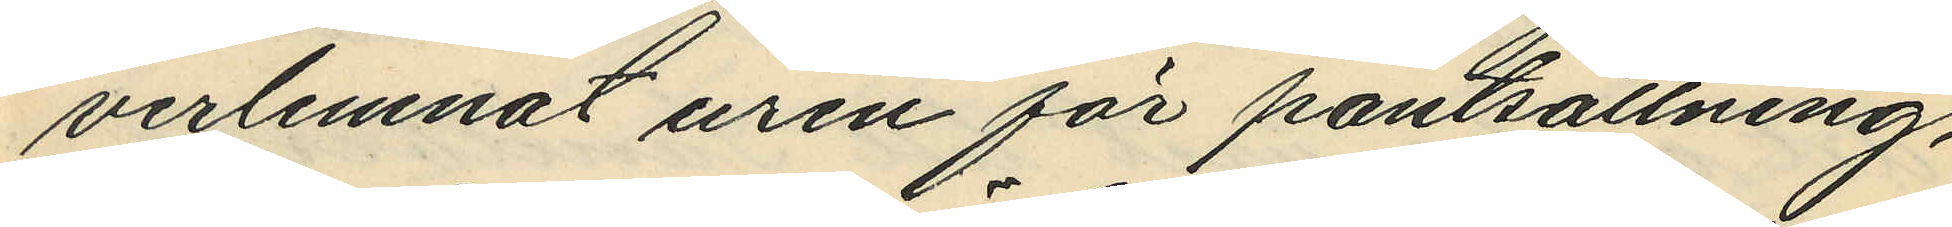verlemnat uren för pantsättning,
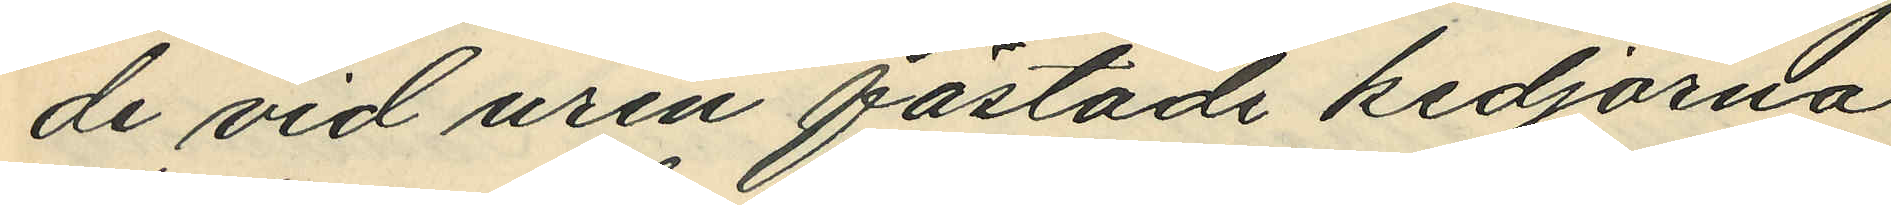de vid uren fästade kedjorna
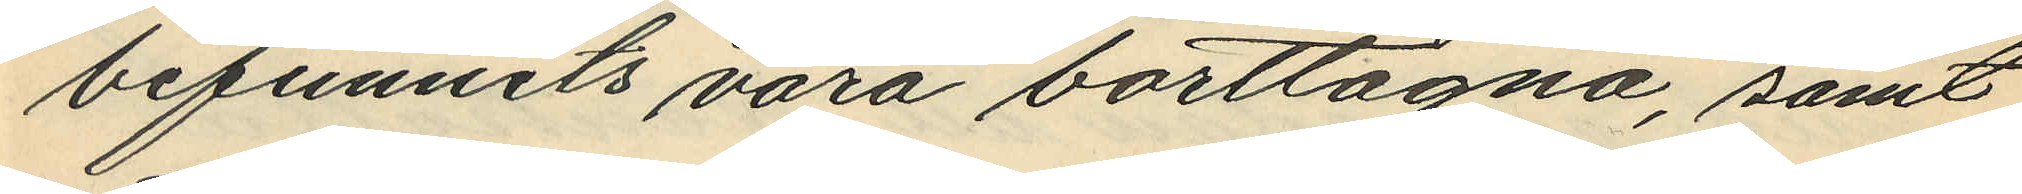befunnits vara borttagna, samt
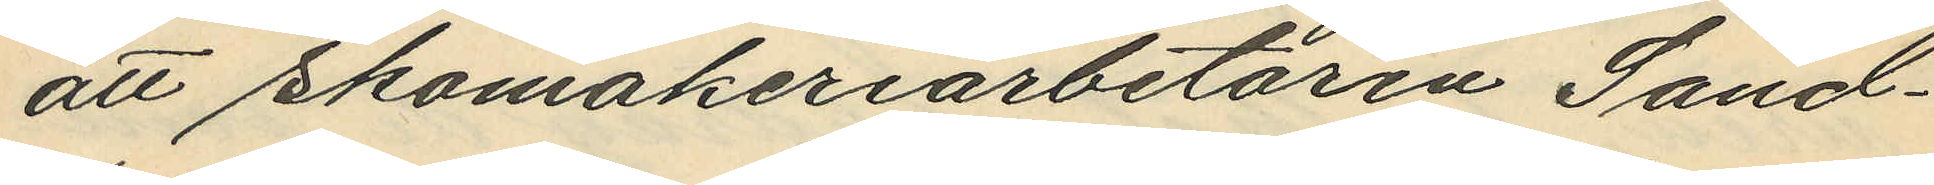att Skomakeriarbetaren Sand¬
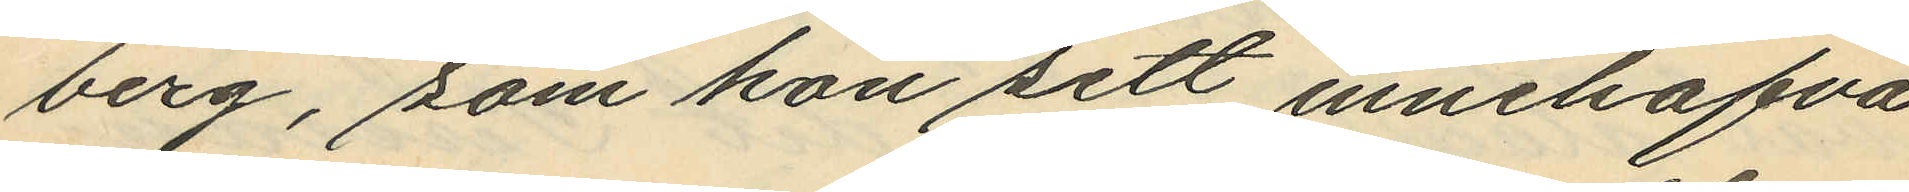berg, som hon sett innehafva
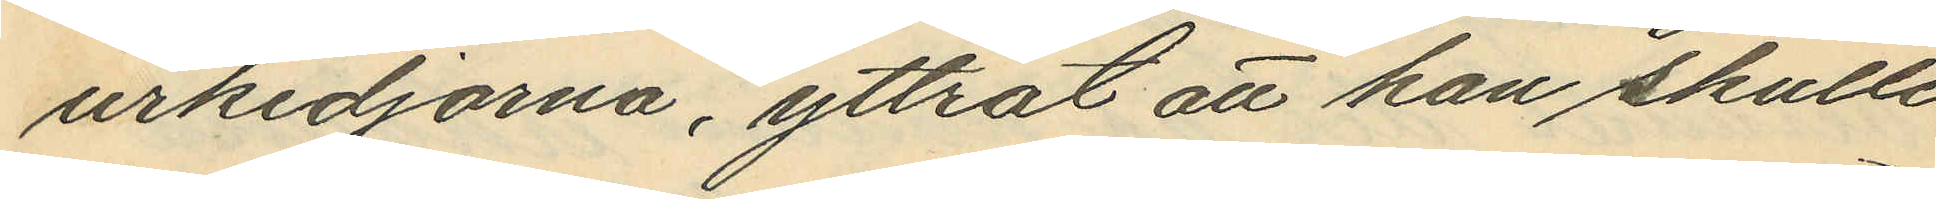urkedjorna, yttrat att han skulle
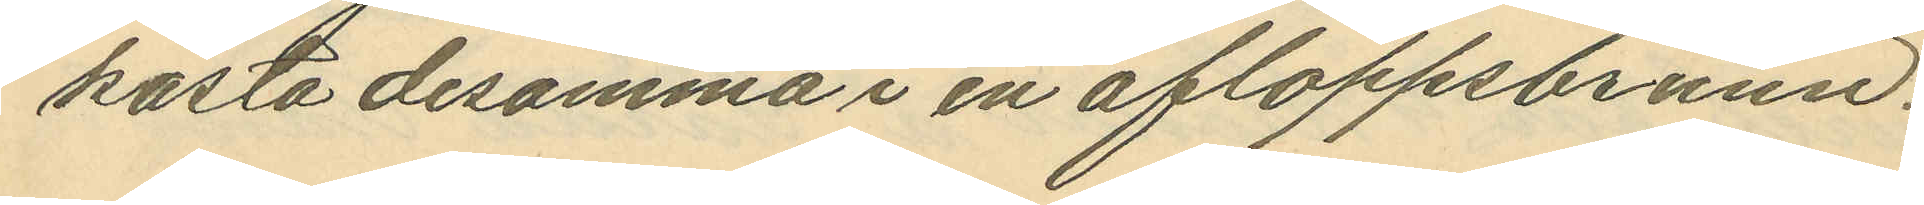karta desamma i en afloppsbrunn.
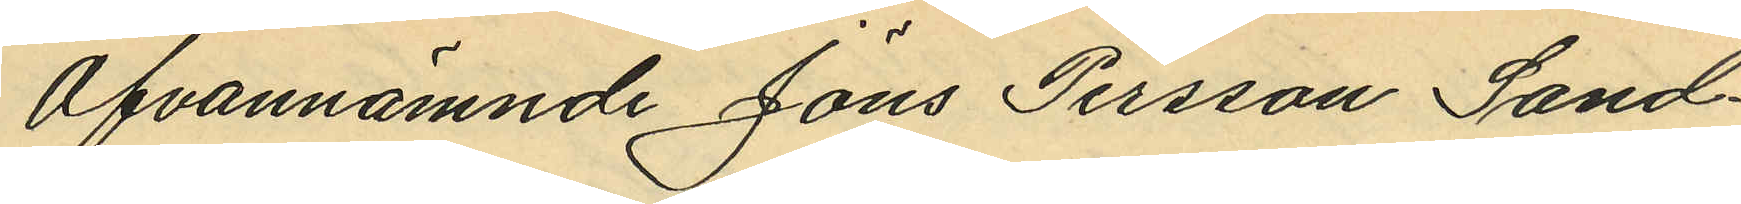Ofvannämnde Jöns Persson Sand¬
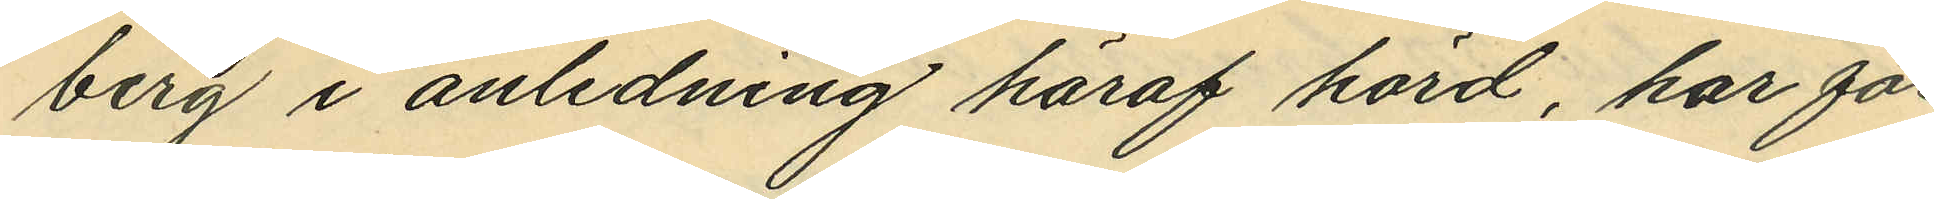berg i anledning häraf hörd, har för¬
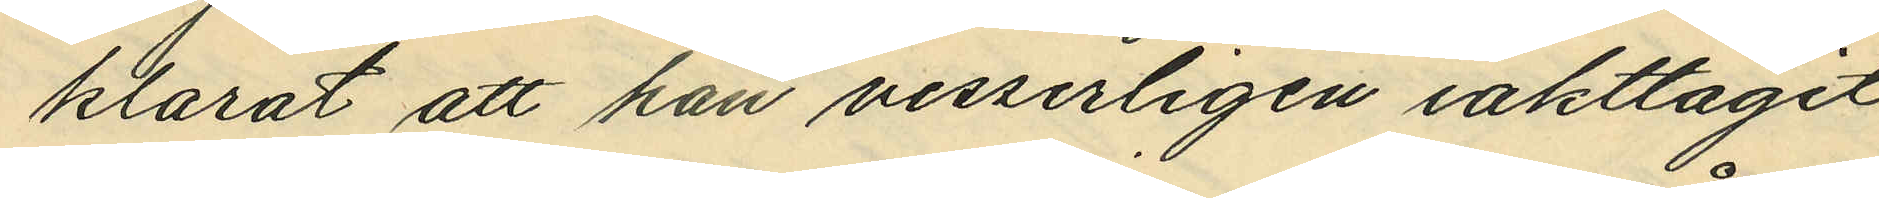klarat att han visserligen iakttagit
